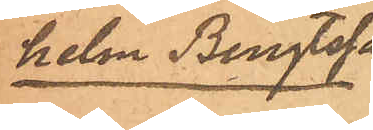helm Bengtsson
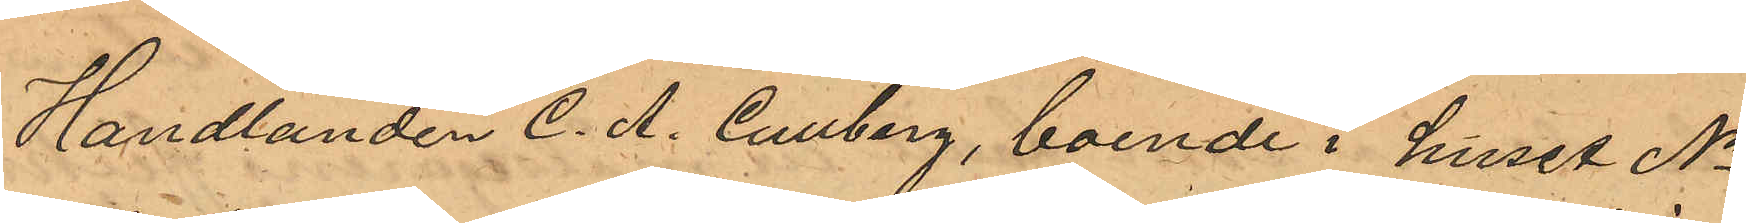Handlanden C. A. Cullberg, boende i huset No
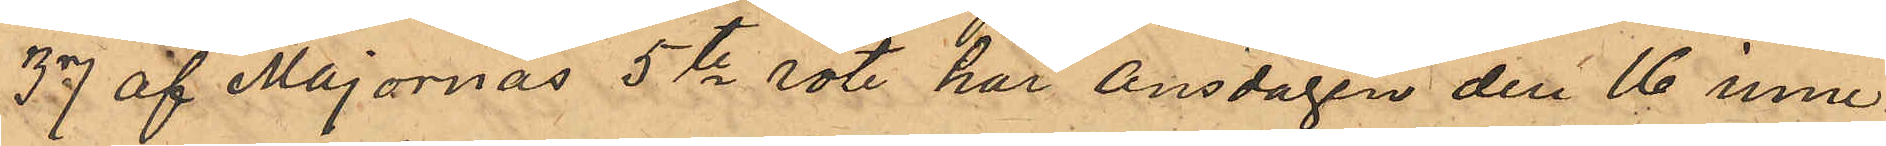37 af Majornas 5te rote har Onsdagen den 16 inne¬
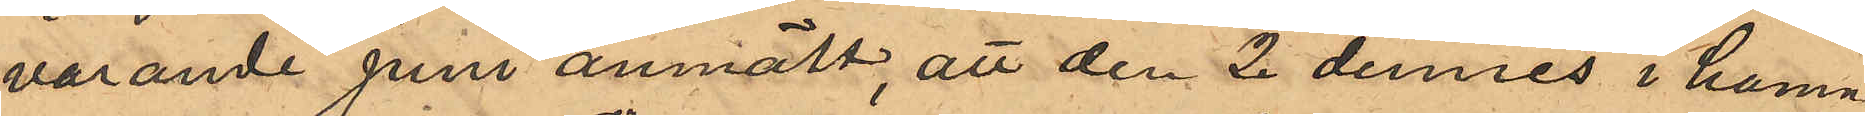varande Juni anmält, att den 2 dennes i hamn¬
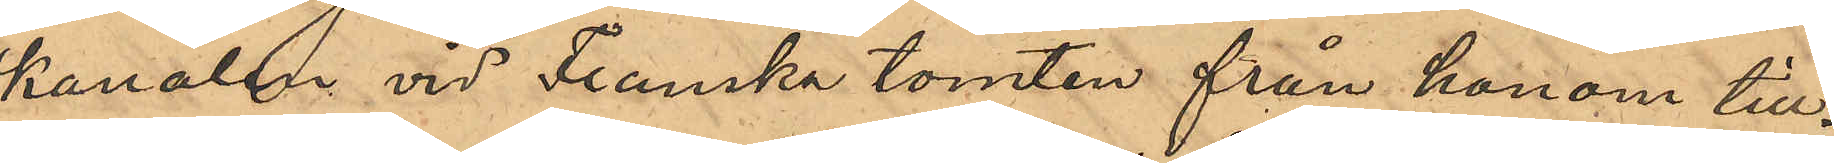kanalen vid Franska tomten från honom till¬
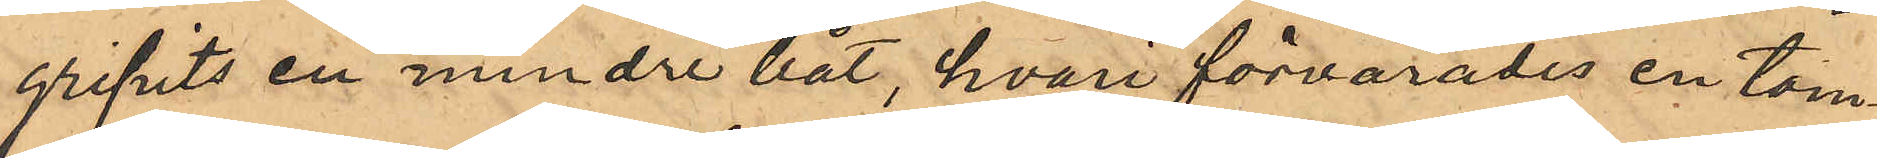gripits en mindre båt, hvari förvarades en tom¬
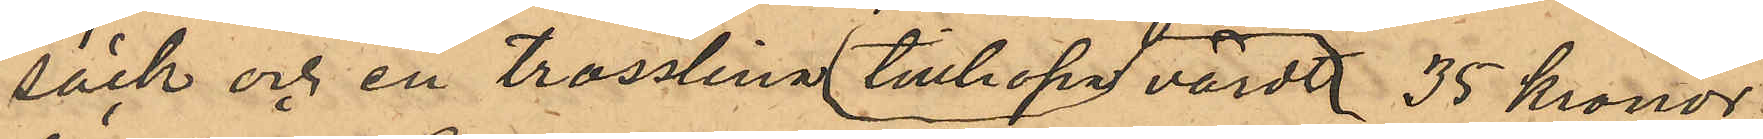säck och en trosslina värdt tillhopa  35 kronor;
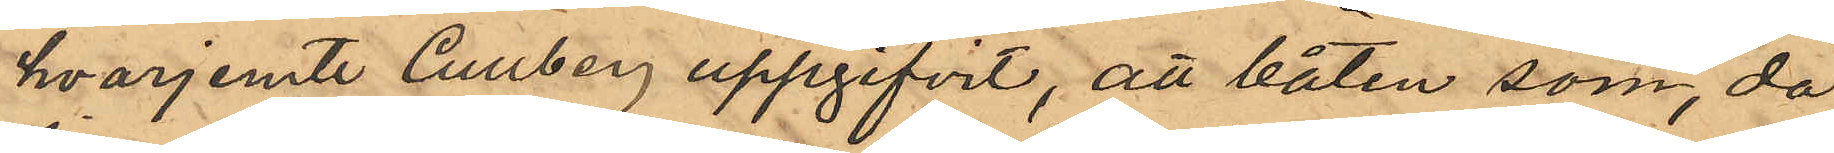hvarjemte Cullberg uppgifvit, att båten som, då
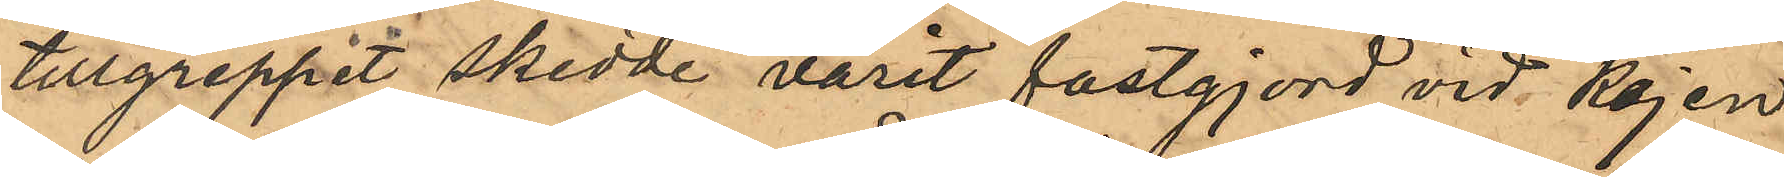tillgreppet skedde varit fastgjord vid kajen
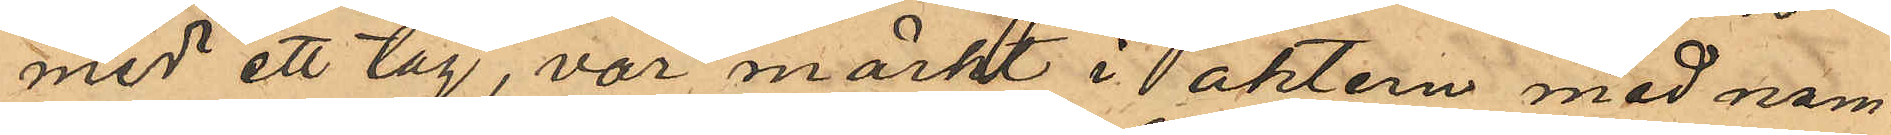med ett tåg, var märkt i aktern med nam¬
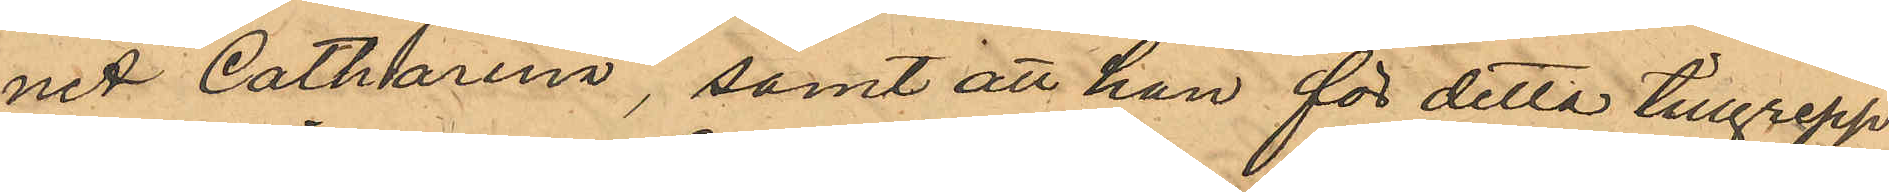ned "Catharina", samt att han för detta tillgrepp
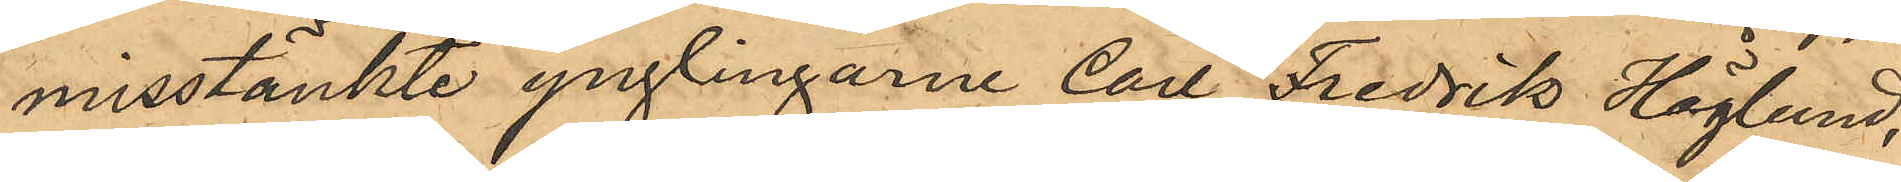misstänkte ynglingarne Carl Fredrik Höglund,
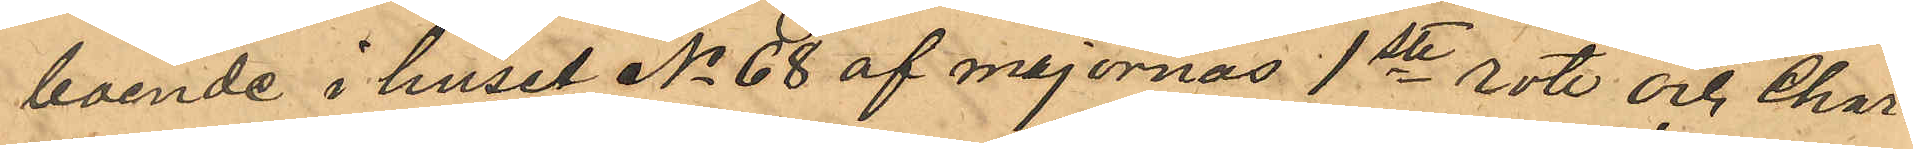boende i huset No 68 af Majornas 1ste rote och Char¬
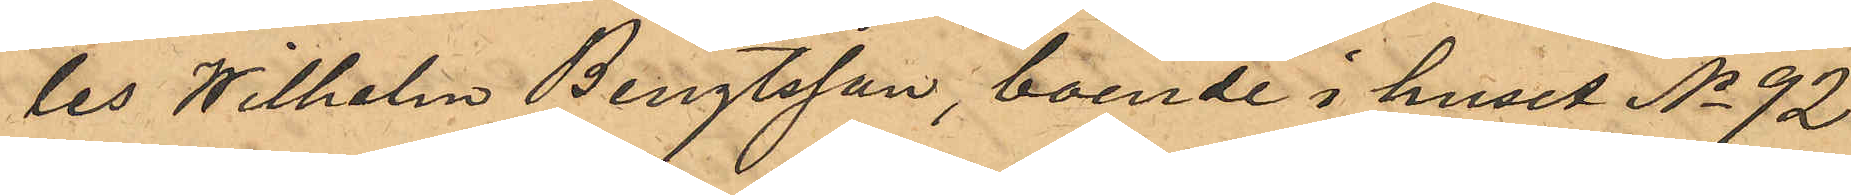les Wilhelm Bengtsson, boende i huset No 92
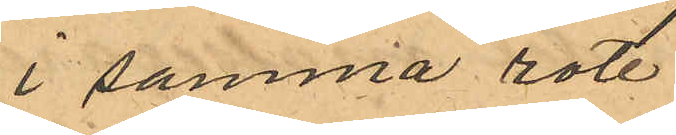i samma rote.
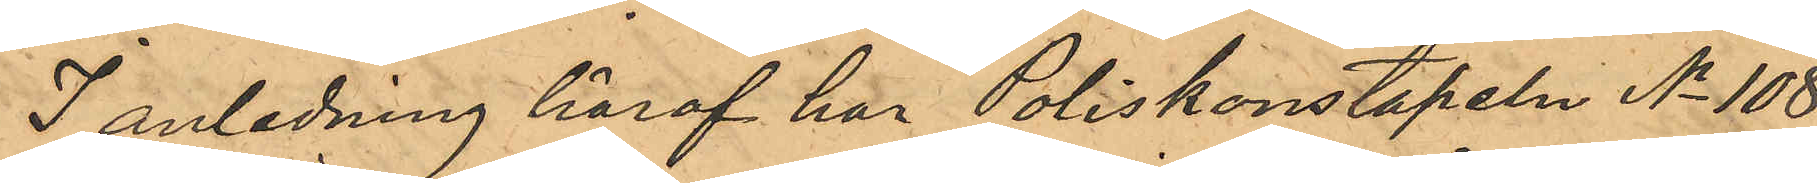I anledning häraf har Poliskonstapeln No 108
